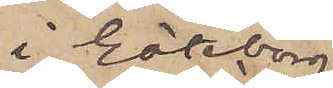i Göteborg
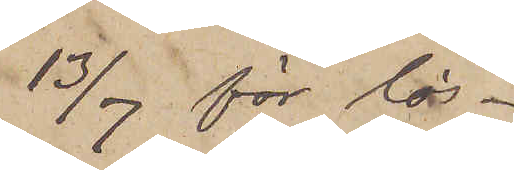13/7 för lös¬
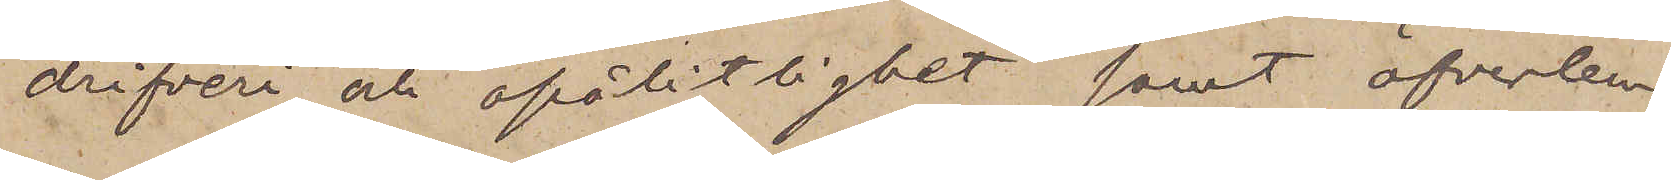drifveri och opålitlighet samt öfverlem¬
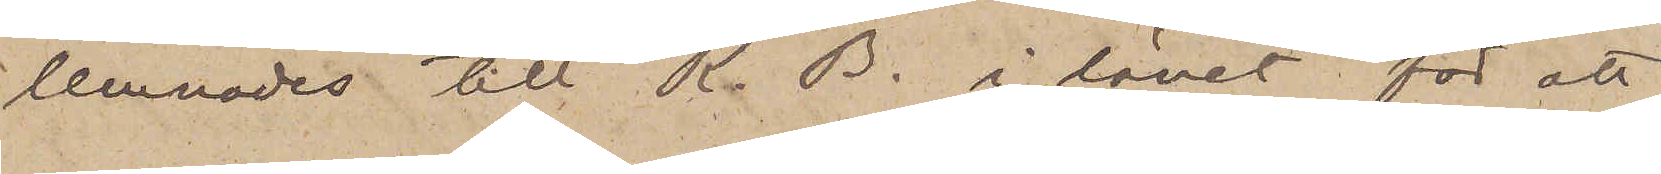lemnades till K. B. i länet för att
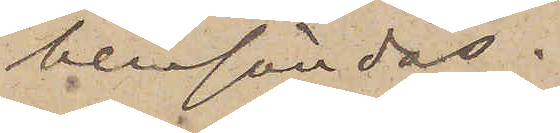hemsändas.
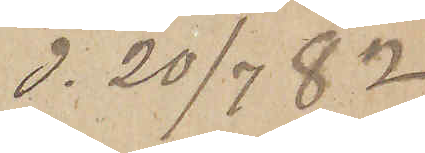d. 20/7  82
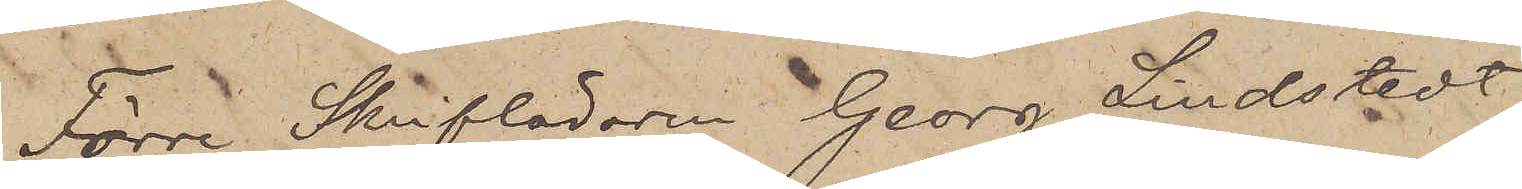Förre Skrifläraren Georg Lindstedt,
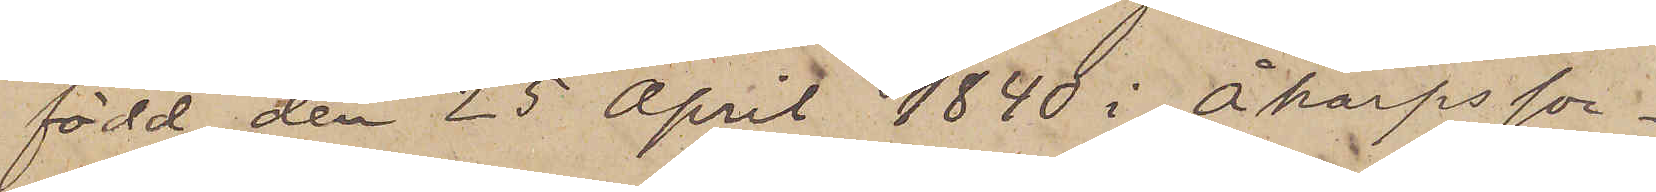född den 25 April 1840 i Åkarps soc¬
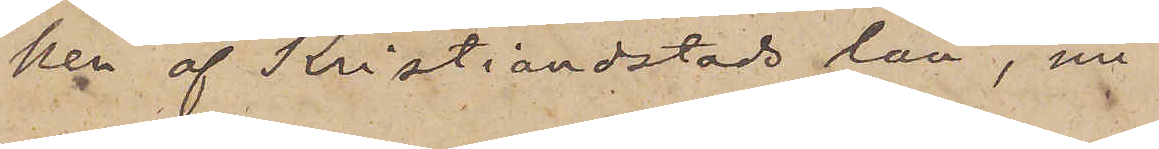ken af Kristianstads län, nu
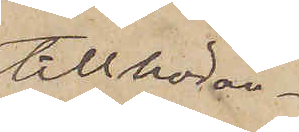tillhöran¬
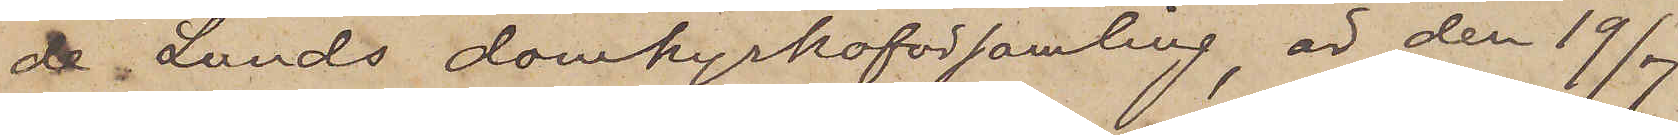de Lunds domkyrkoförsamling, är den 19/7
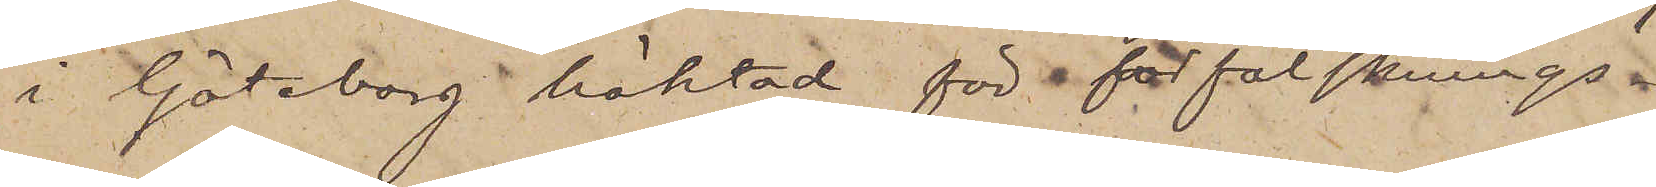i Göteborg häktad för förfalsknings¬
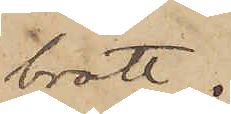brott.
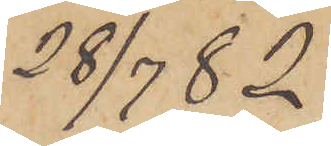28/7  82
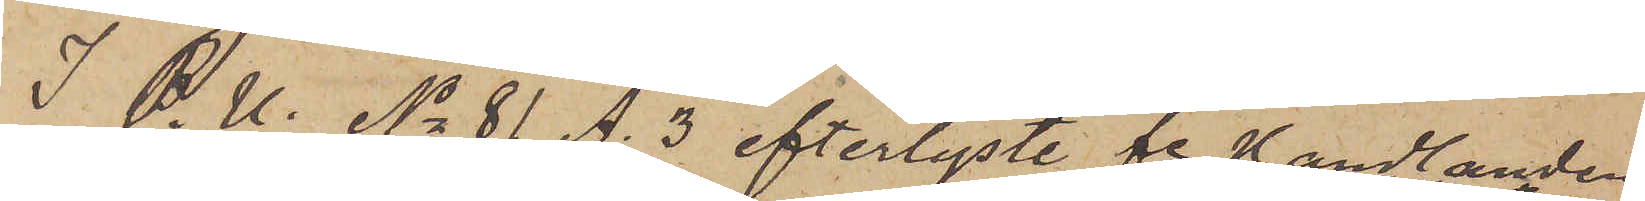I P. U. No 81 A. 3 efterlyste fe Handlanden
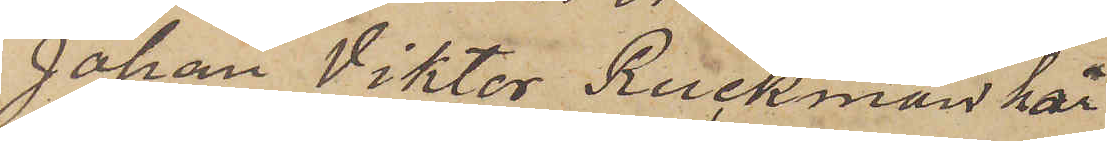Johan Viktor Ruckman har
